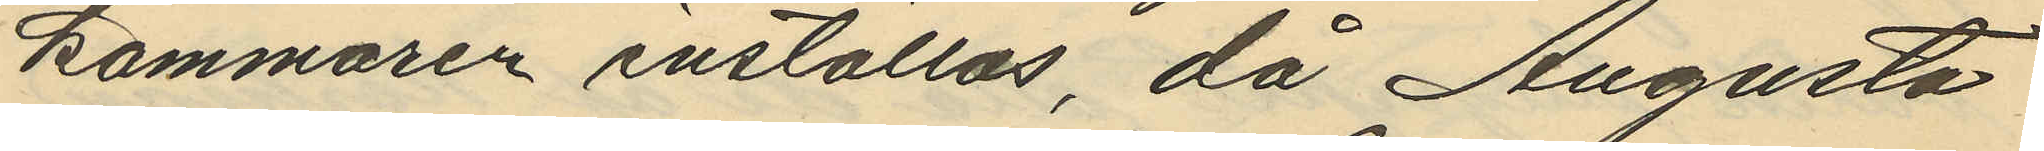kammaren inställas, då Augusta
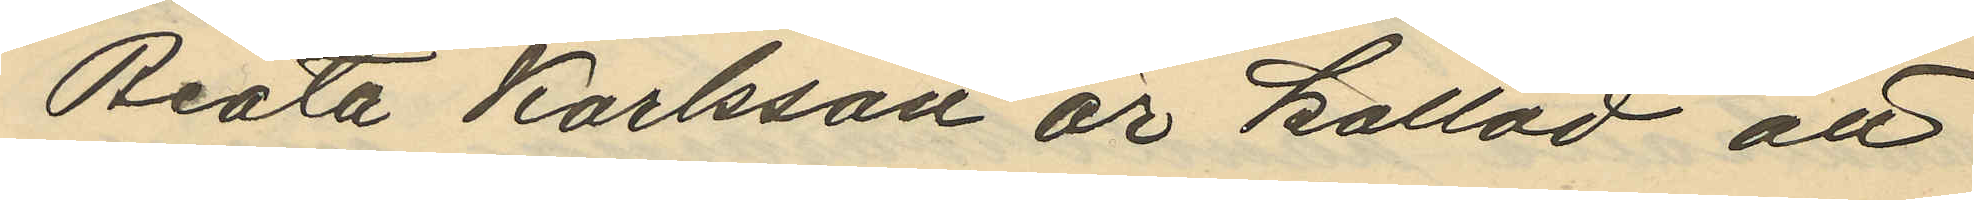Beata Karlsson är kallad att
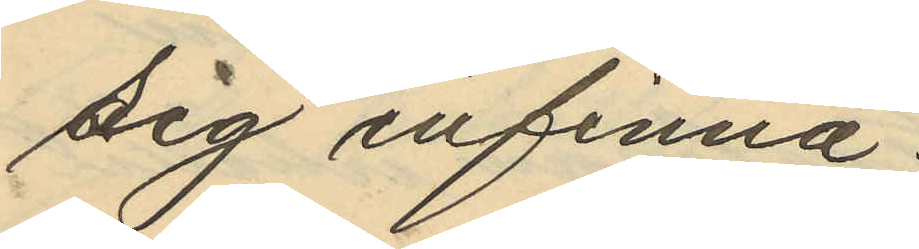sig infinna.
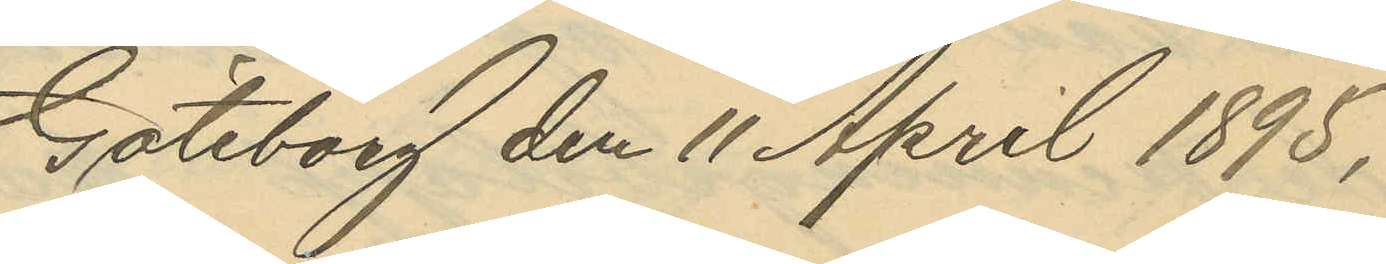Göteborg den 11 April 1895.
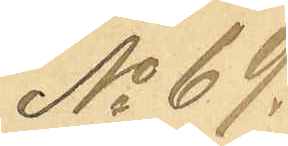No 69.
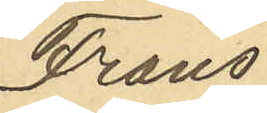Frans
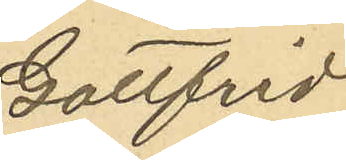Gottfrid
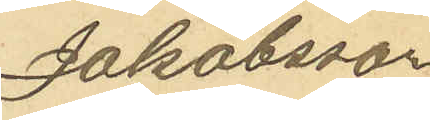Jakobsson
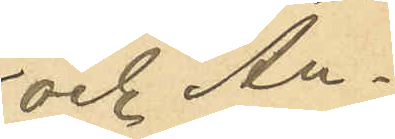och An¬
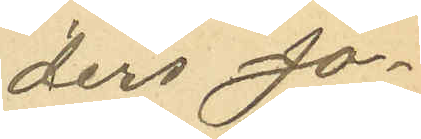ders Jo¬
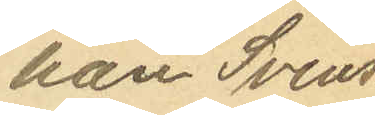han Svens¬
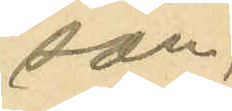son,
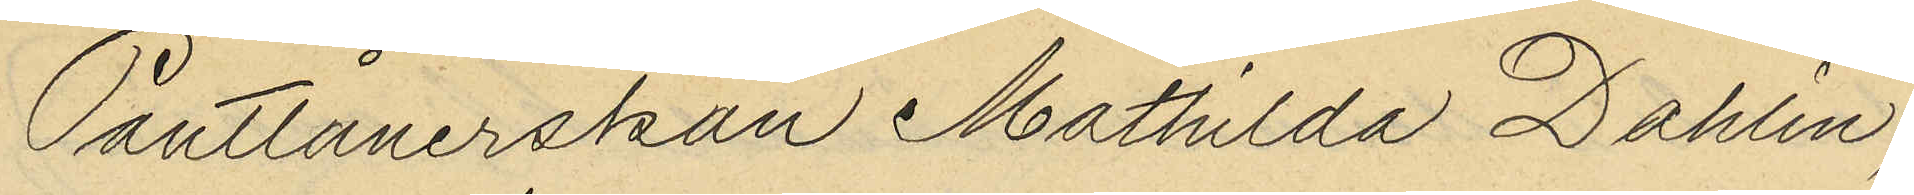Pantlånerskan Mathilda Dahlin,
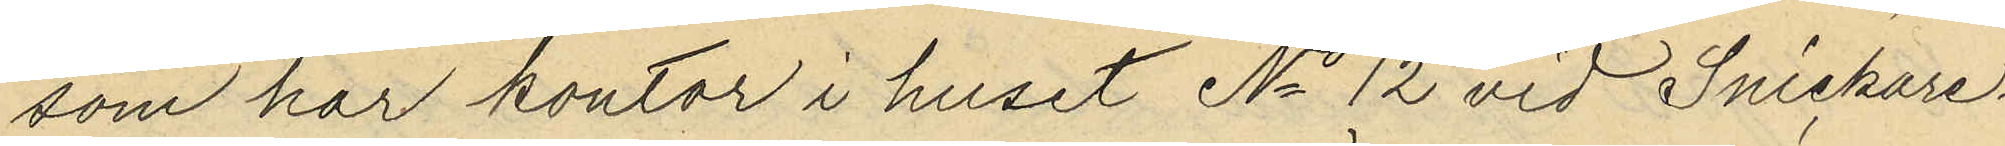som har kontor i huset No 12 vid Snickare¬
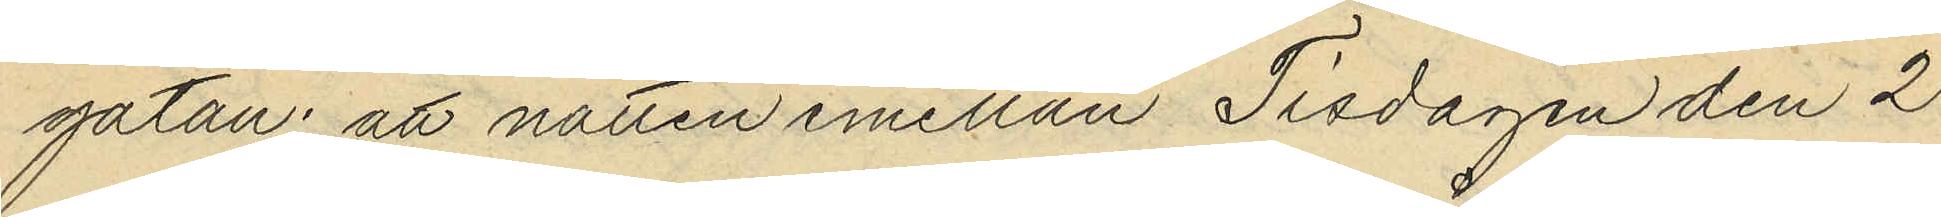gatan: att natten emellan Tisdagen den 2
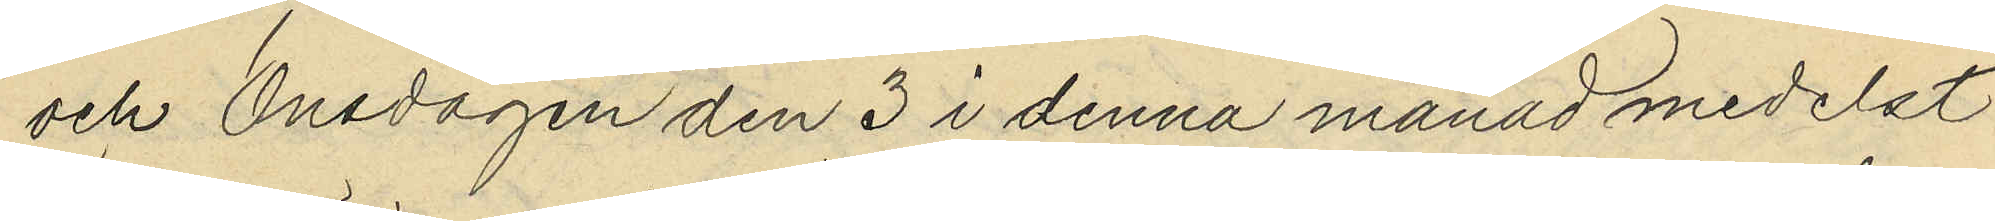och Onsdagen den 3 i denna månad medelst
